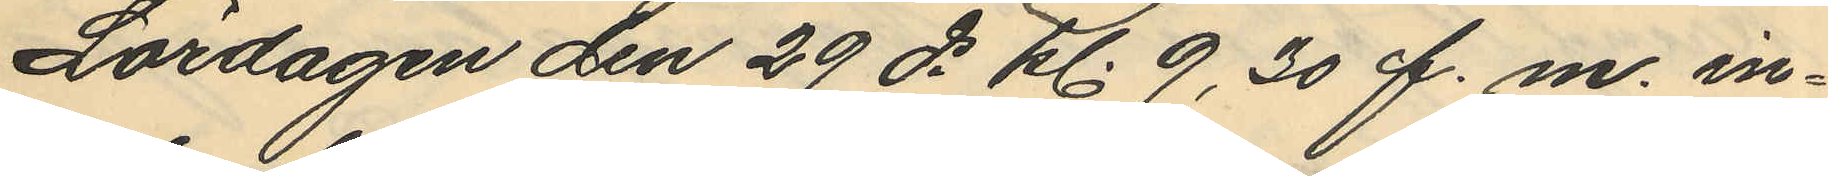Lördagen den 29 ds kl. 9,30 f.m. in¬
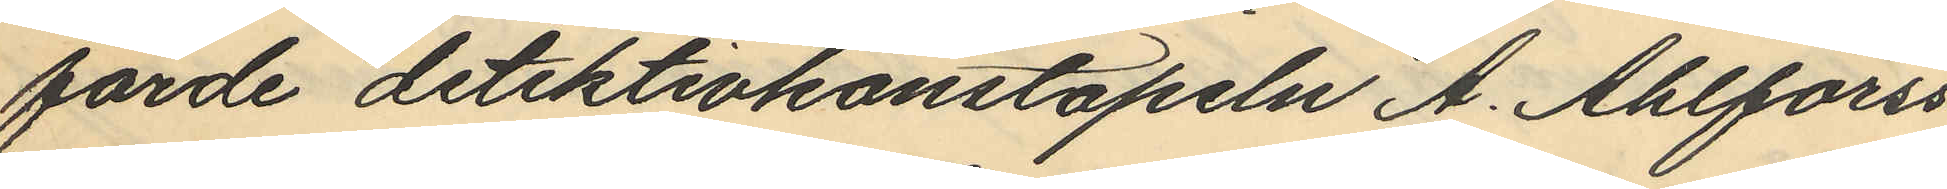förde detektivkonstapeln A. Ahlforss
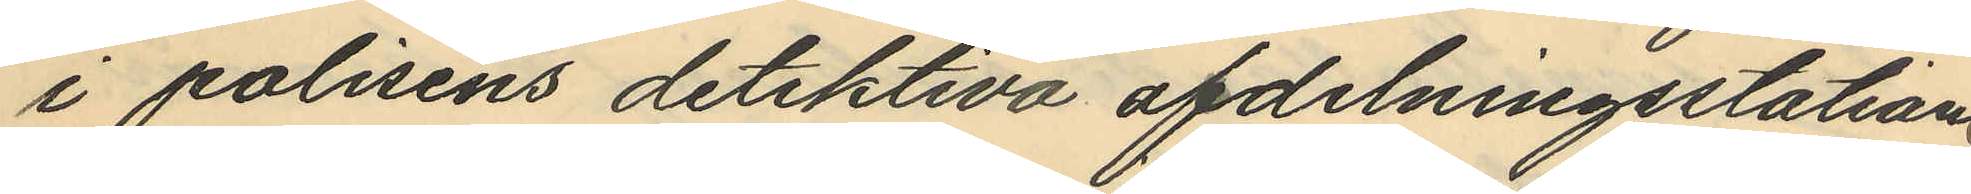i polisens detektiva afdelningsstation.
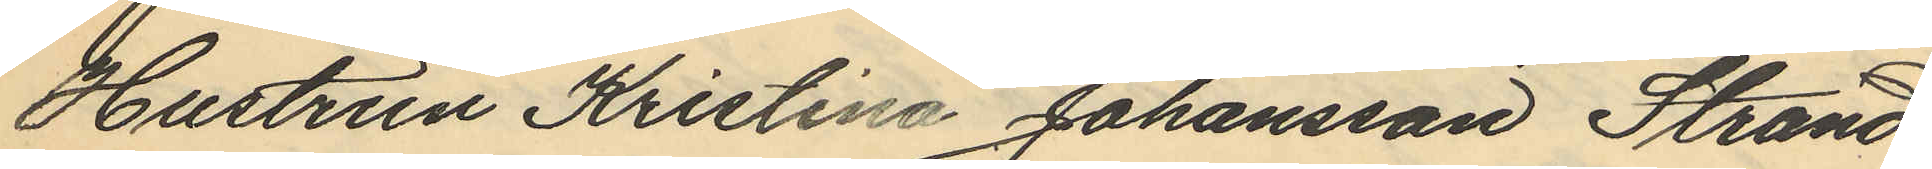Hustrun Kristina Johansson Strand¬
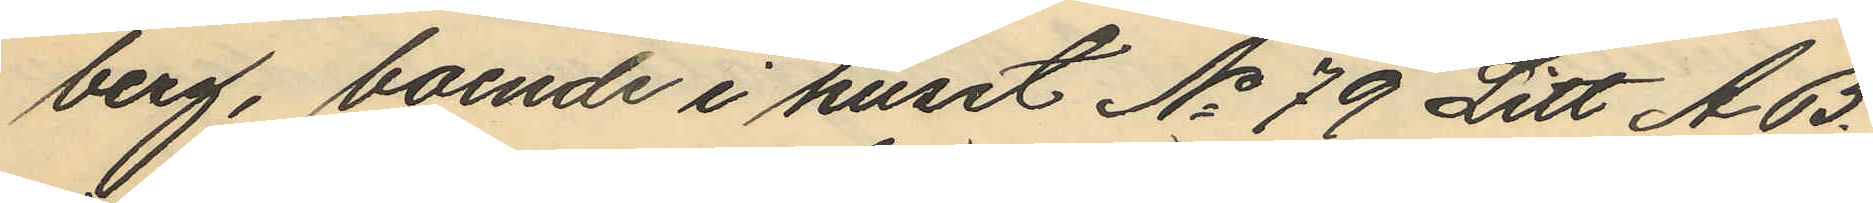berg, boende i huset No 79 Litt AB.
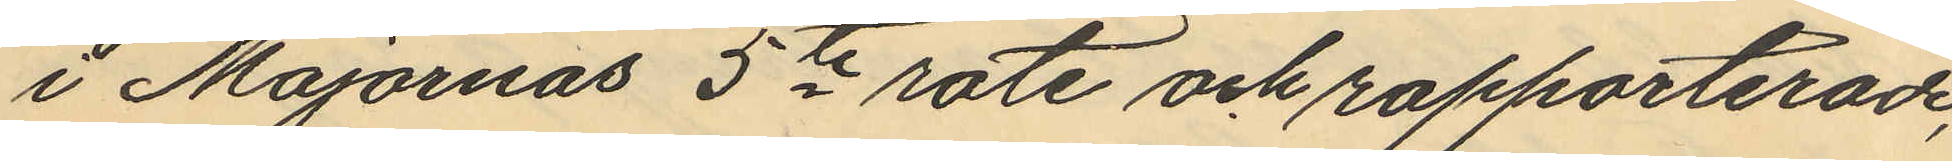i Majornas 5te rote och rapporterade,
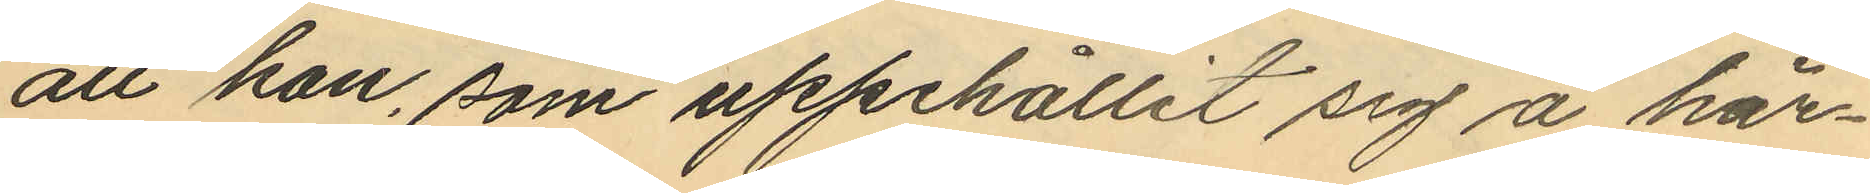att han, som uppehållit sig å här¬
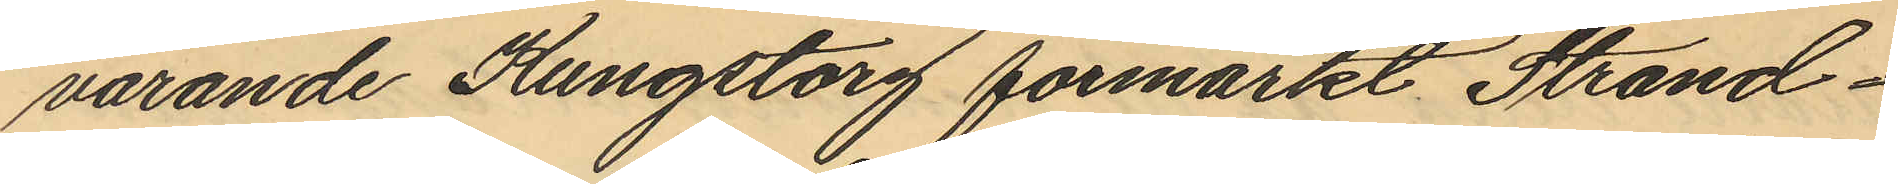varande Kungstorg förmärkt Strand¬
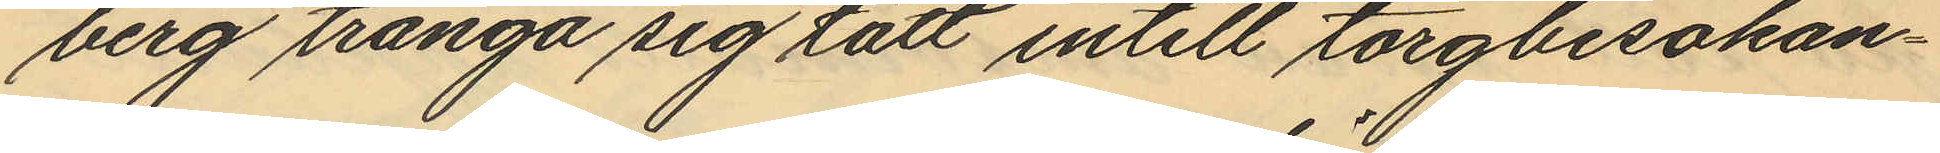berg tränga sig tätt intill torgbesökan¬
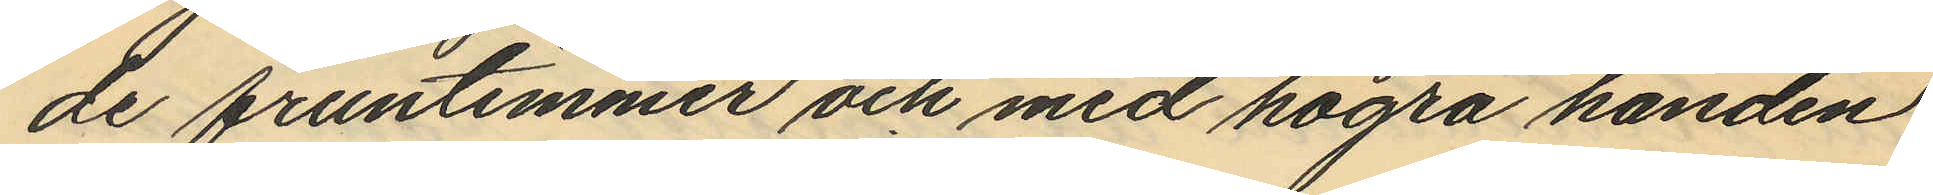de fruntimmer och med högra handen
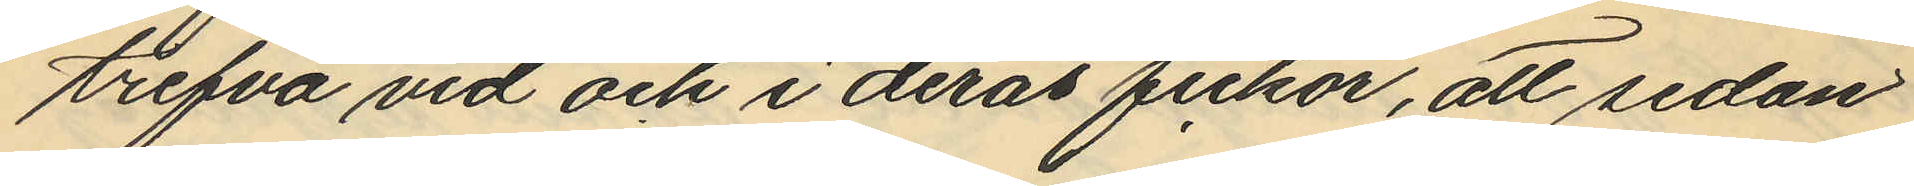trefva vid och i deras fickor, att sedan
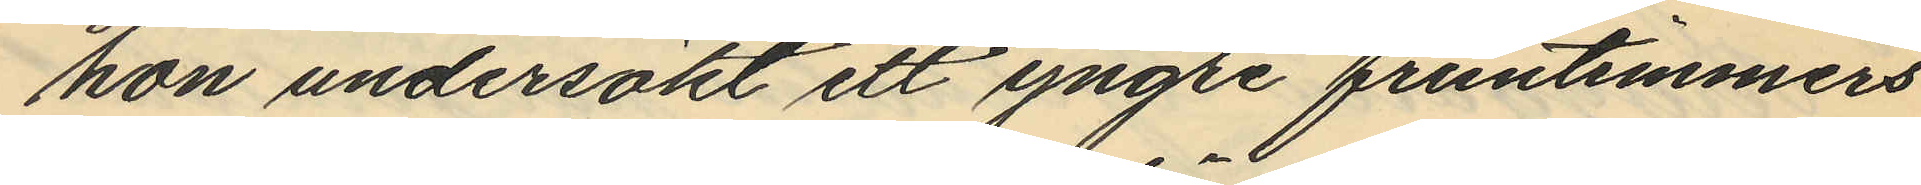hon undersökt ett yngre fruntimmers
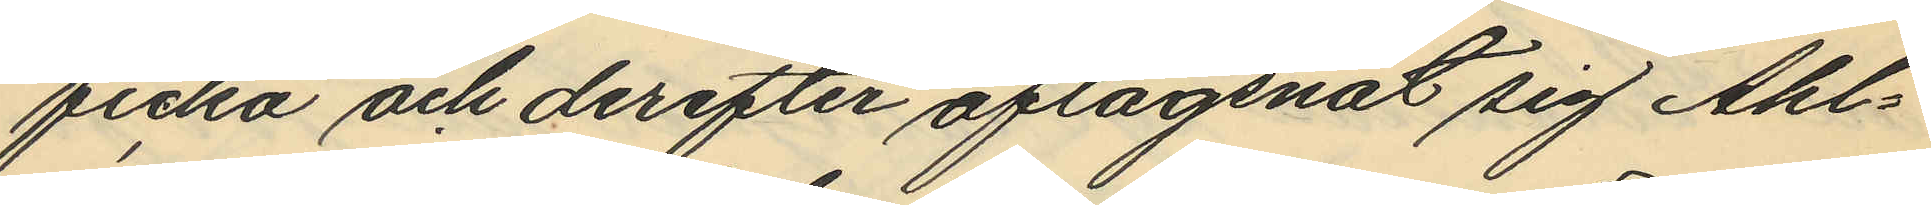ficka och derefter aflägsnat sig Ahl¬
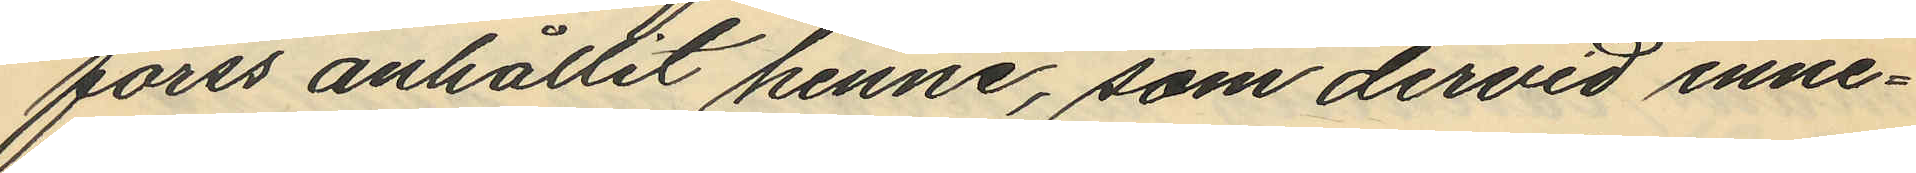forss anhållit henne, som dervid inne¬
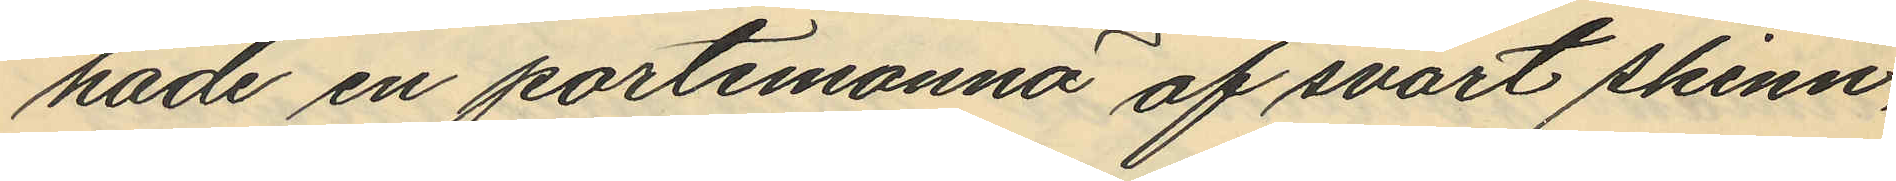hade en portmonnä af svart skinn,
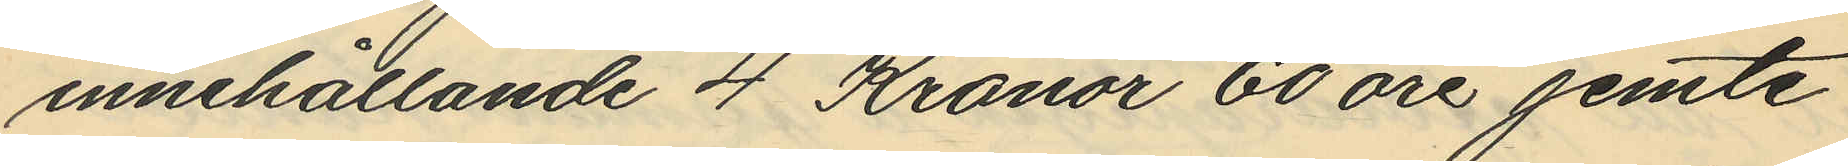innehållande 4 Kronor 60 öre jemte
